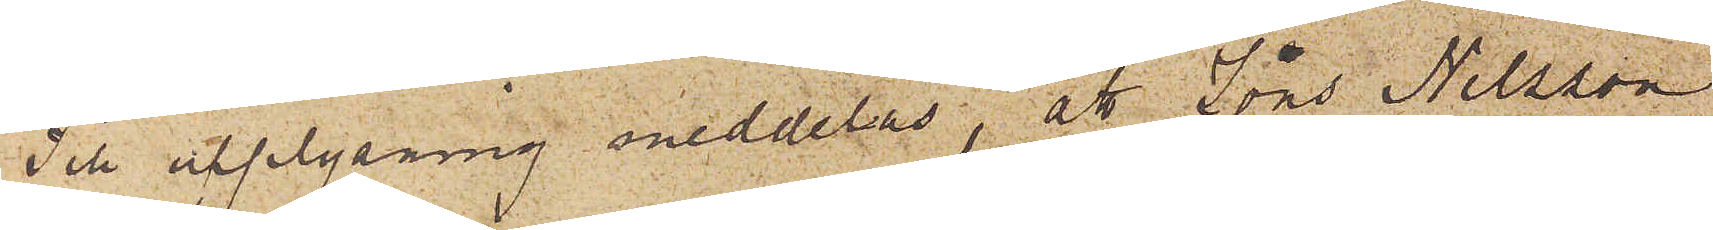Till upplysning meddelas, att Jöns Nilsson
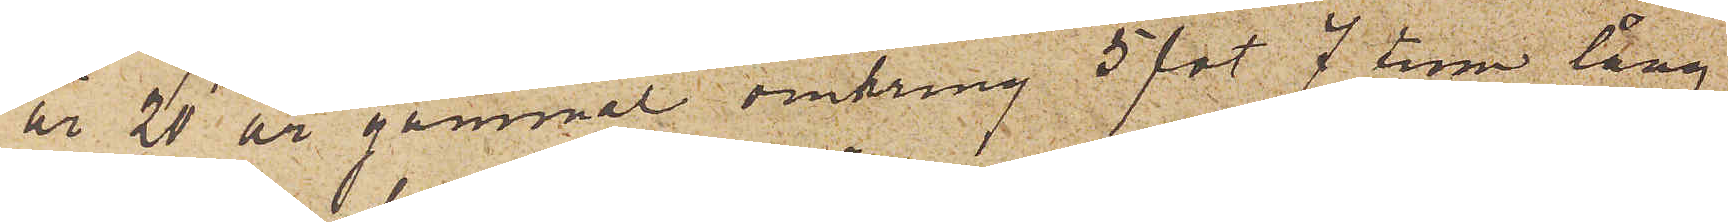är 20 år gammal omkring 5 fot 7 tum lång
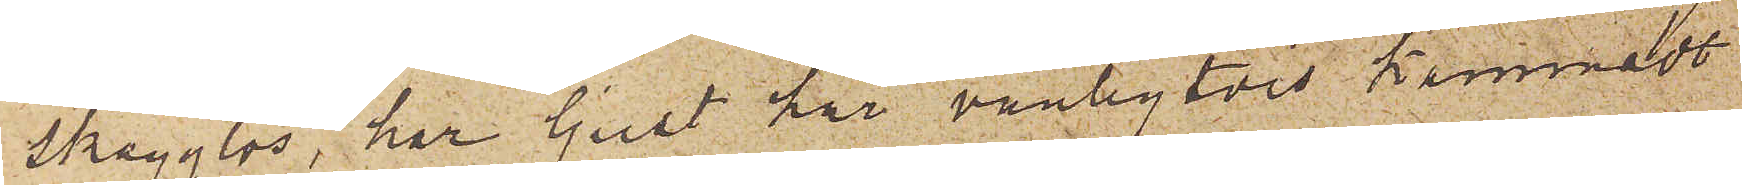skägglös, har ljust hår, vanligtvis kammadt
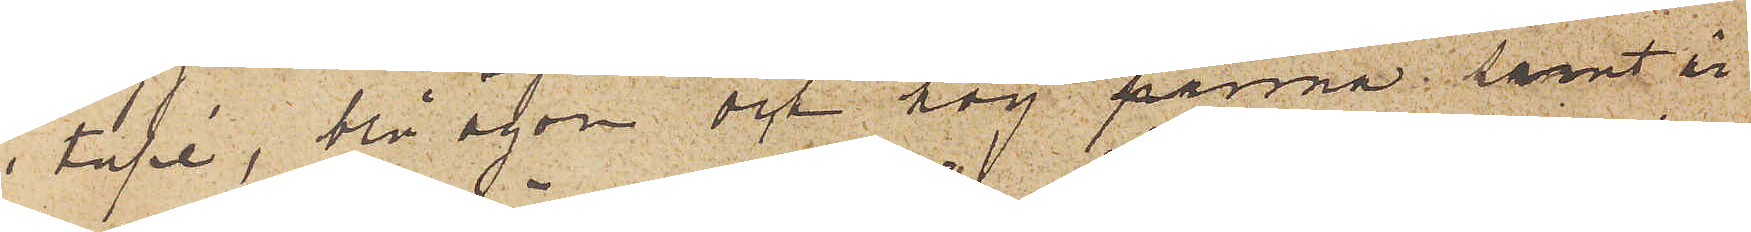i tupé, blå ögon och hög panna; samt är
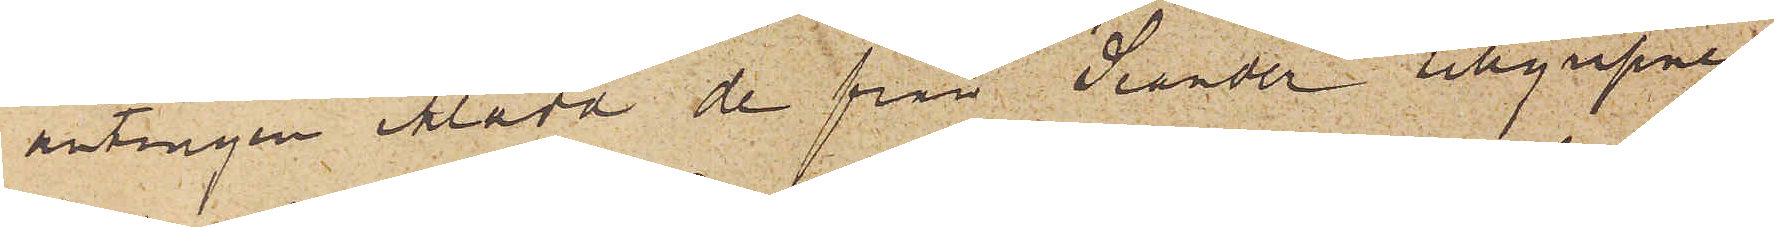antingen iklädd de från Seander tillgripne
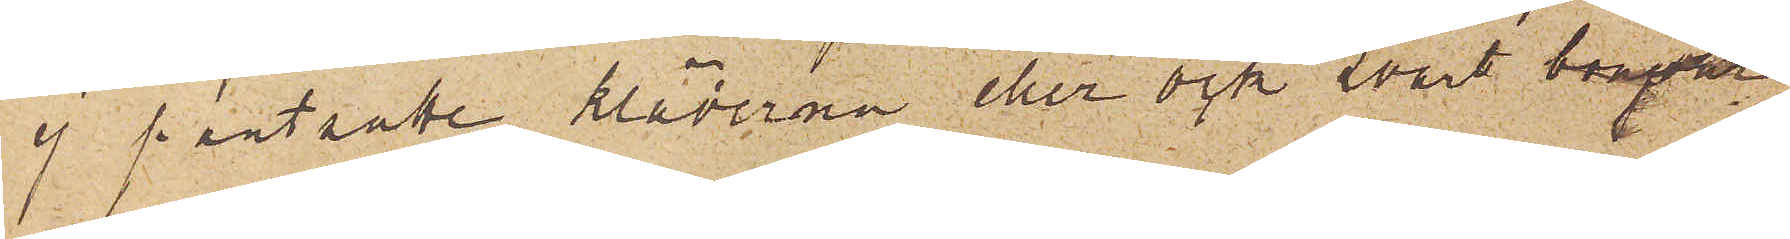ej pantsatte kläderna eller ock svart bonjour
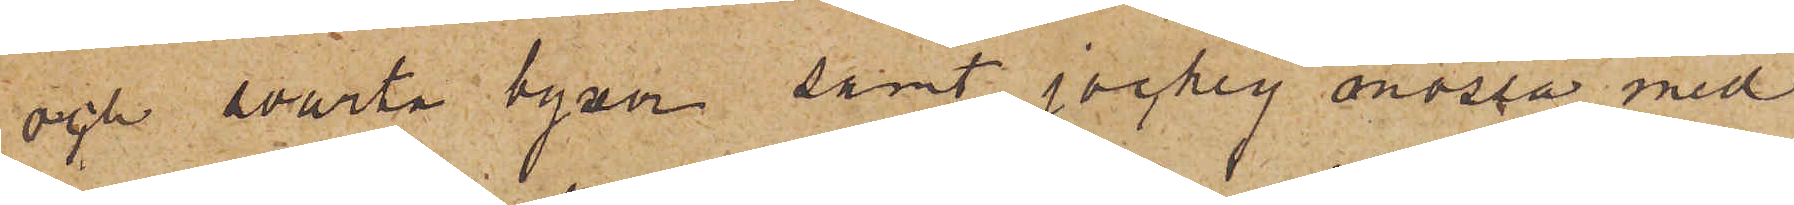och svarta byxor samt jockey mössa med
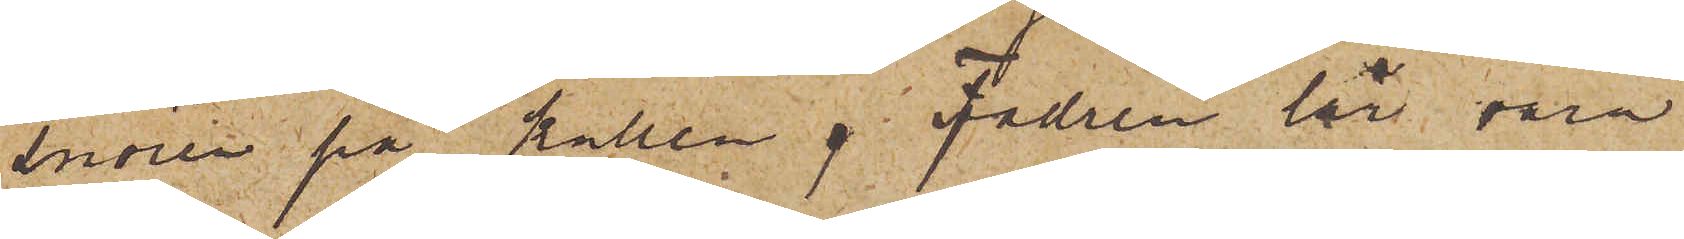snören på kullen.  Fadren lär vara
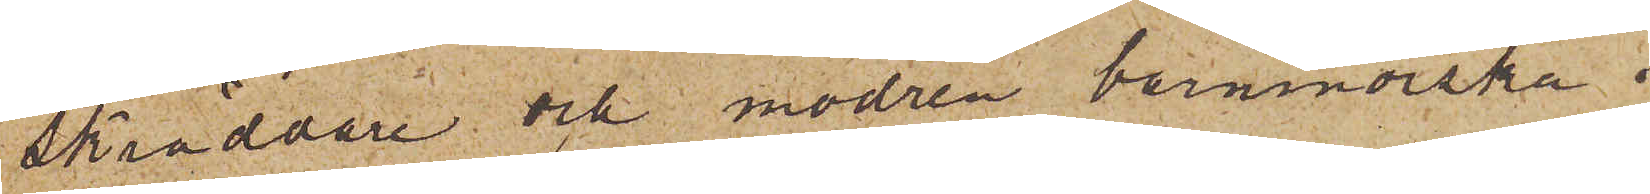Skräddare och modren barnmorska i
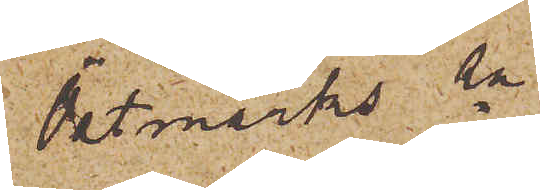Östmarks sn
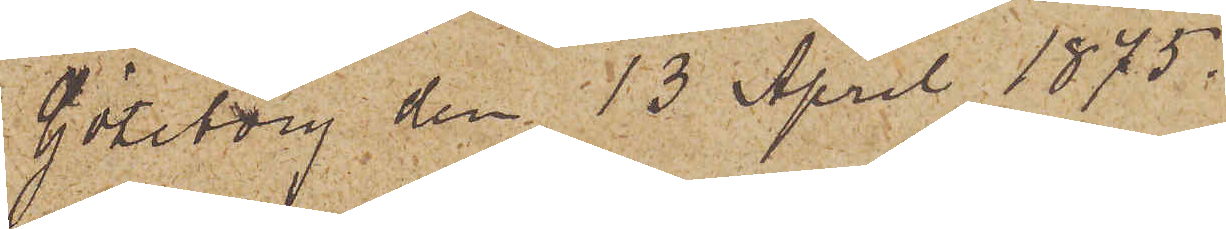Göteborg den 13 April 1875.
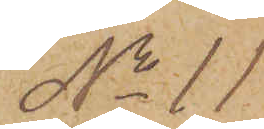No 11
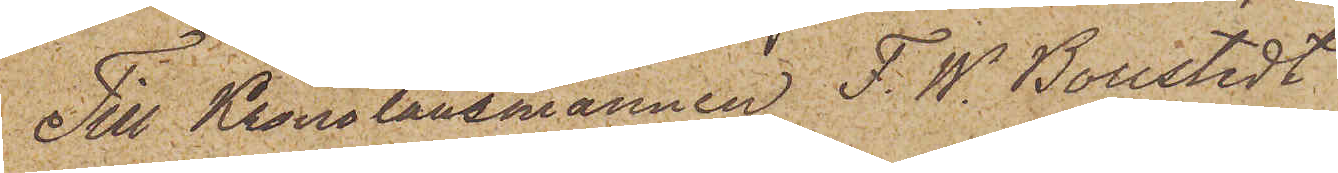Till Kronolänsmannen F. W. Boustedt
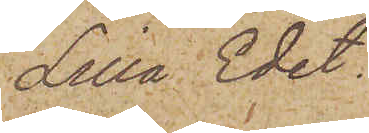Lilla Edet.
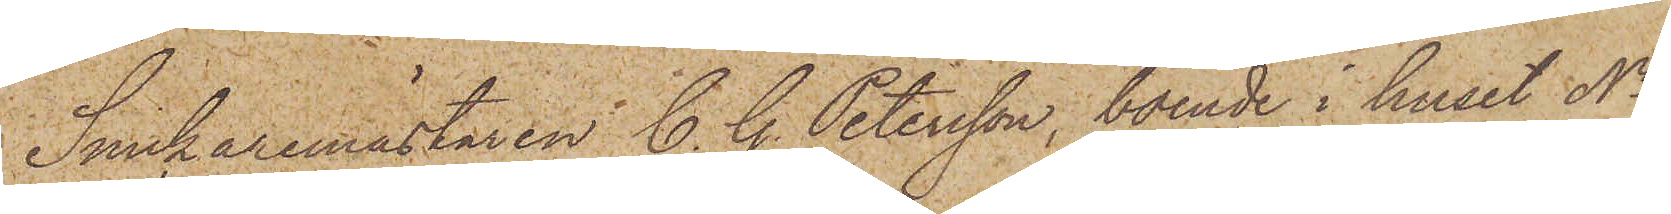Snickaremästaren C. G. Petersson, boende i huset No
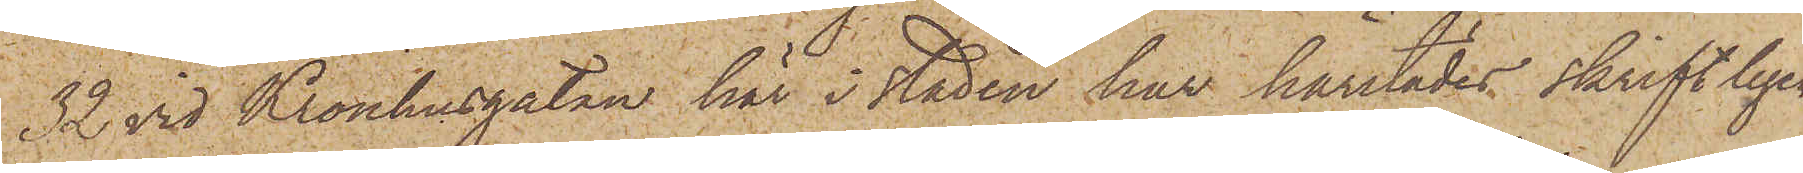32 vid Kronhusgatan här i staden har härstädes skriftligen
